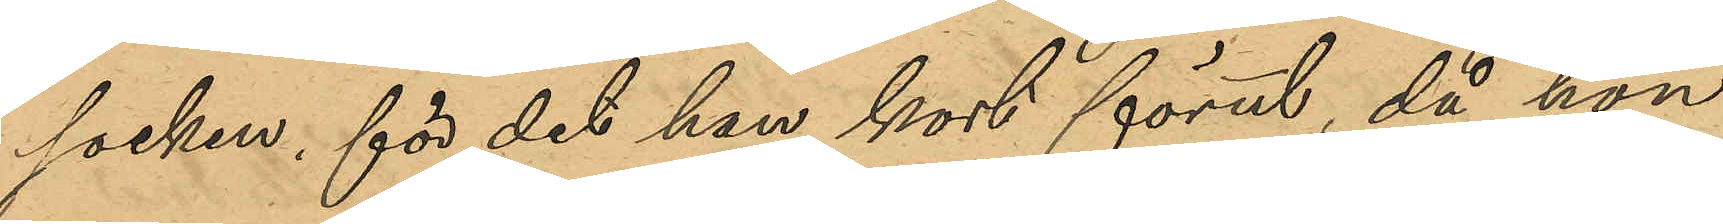socken, för det hon kort förut, då hon
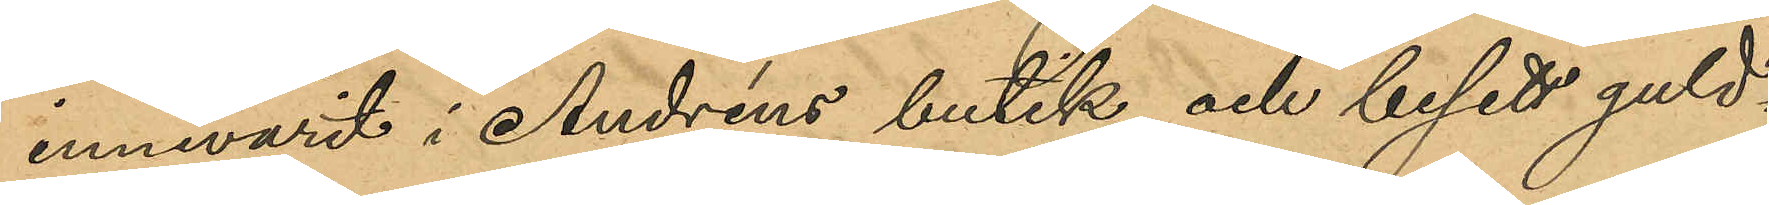innevarit i Andréns butik och besett guld¬
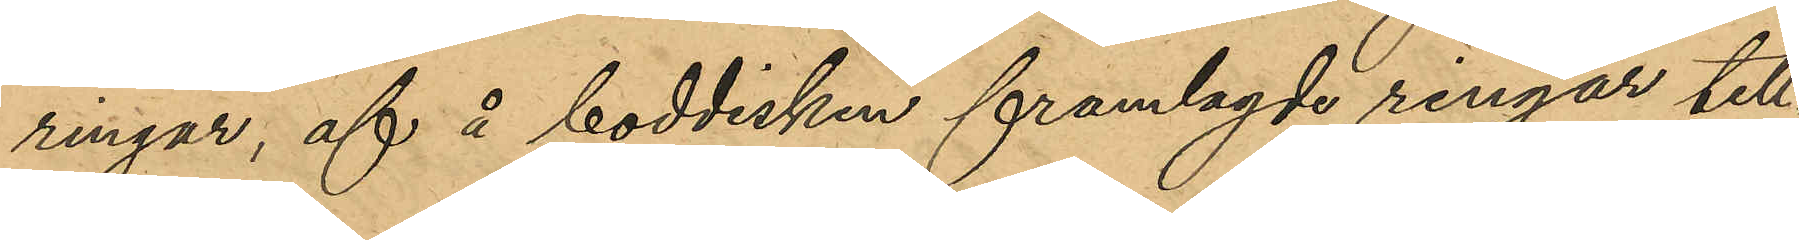ringar, af å boddisken framlagde ringar till¬
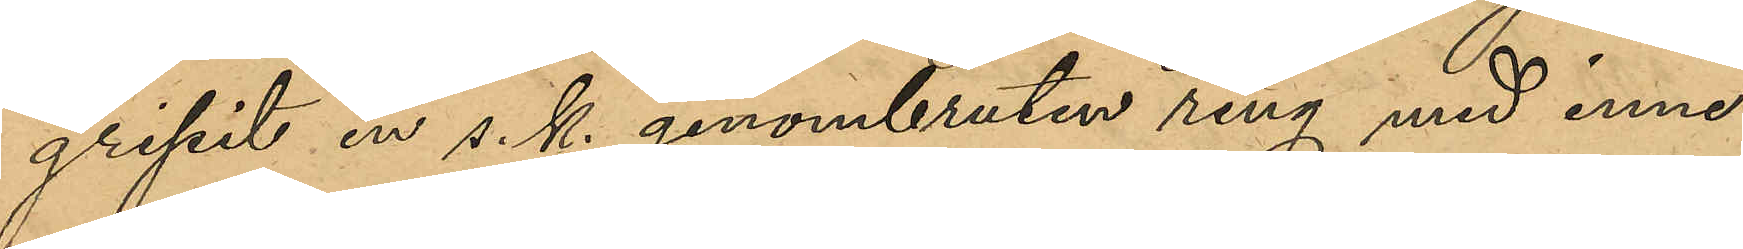gripit en s. k. genombruten ring med inne¬
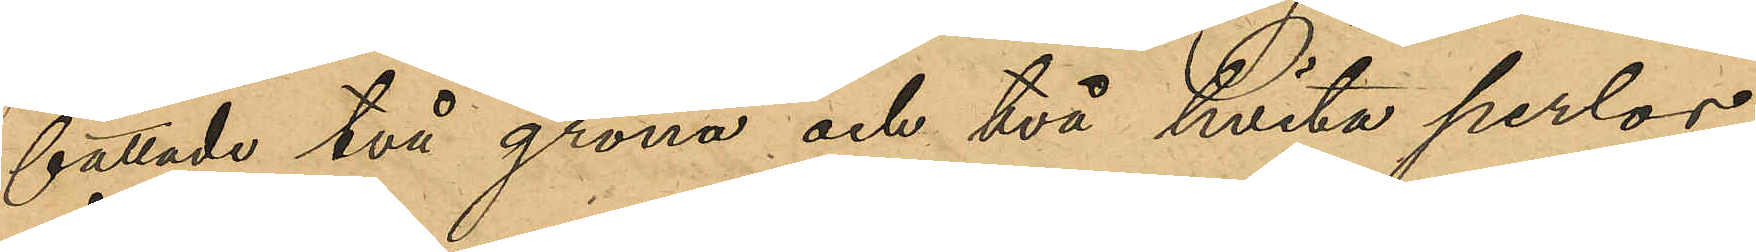fattade två gröna och två hvita perlor,
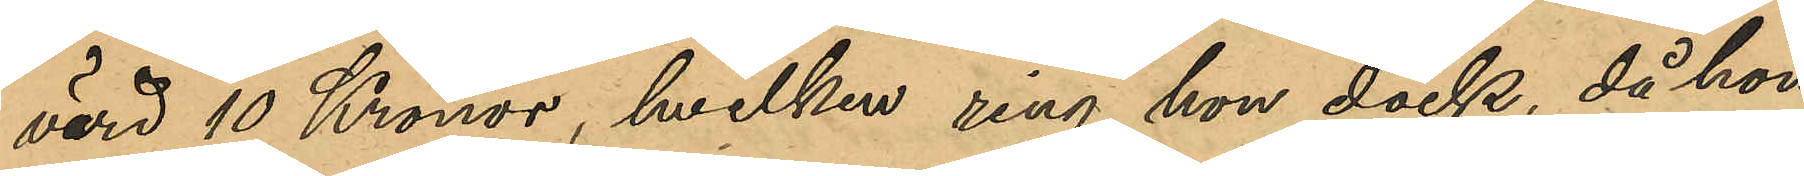värd 10 Kronor, hvilken ring hon dock, då hon
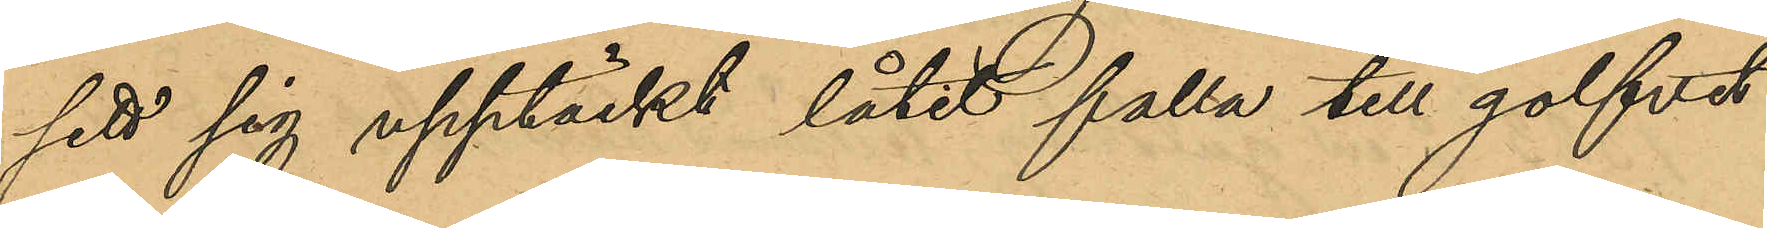sett sig upptäckt låtit falla till golfvet
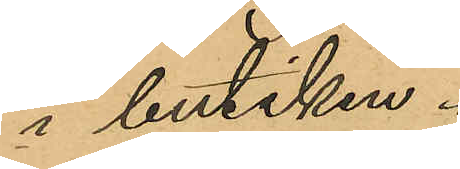i butiken.
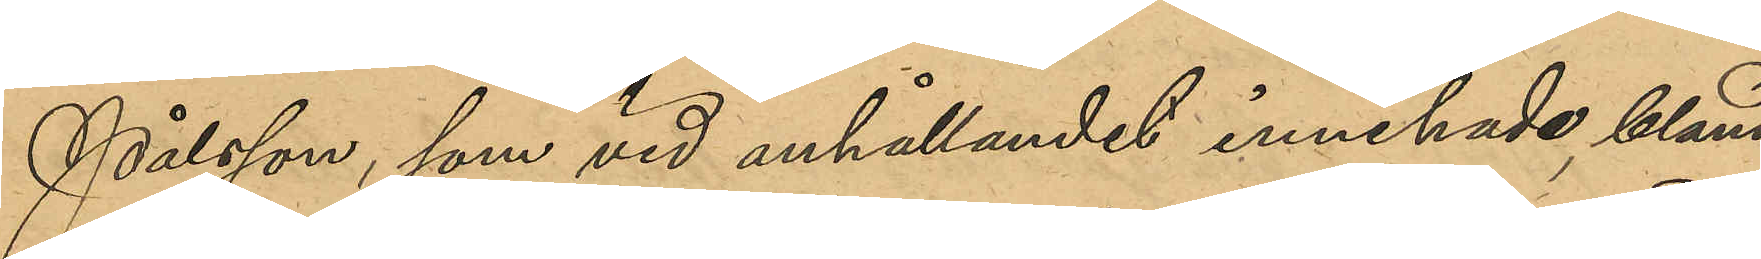Pålsson, som vid anhållandet innehade, bland
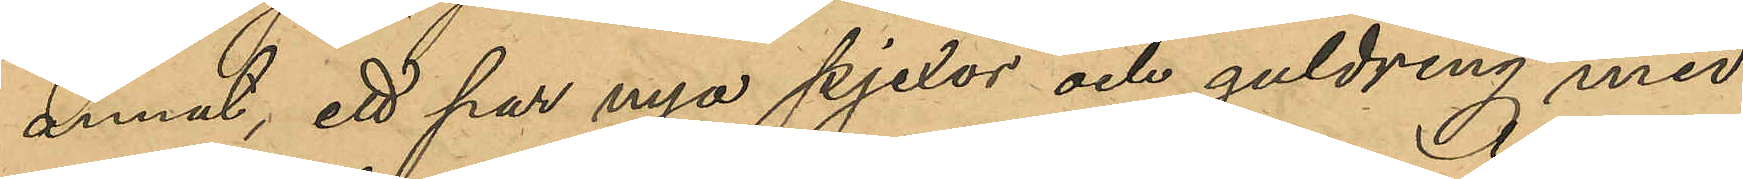annat, ett par nya pjexor och guldring med
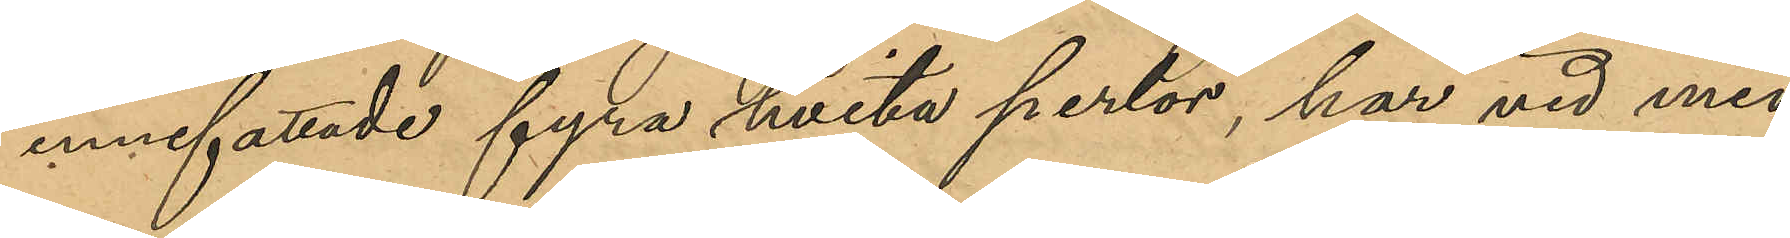innefattade fyra hvita perlor, har vid med
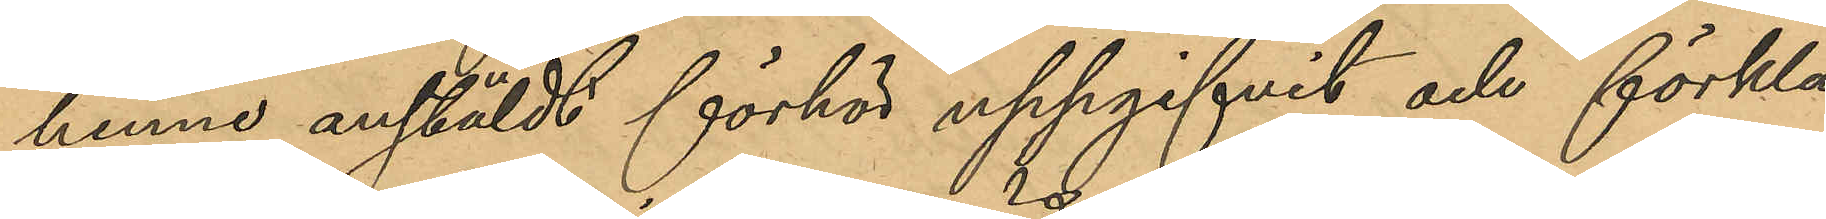henne anstäldt förhör uppgifvit och förkla¬
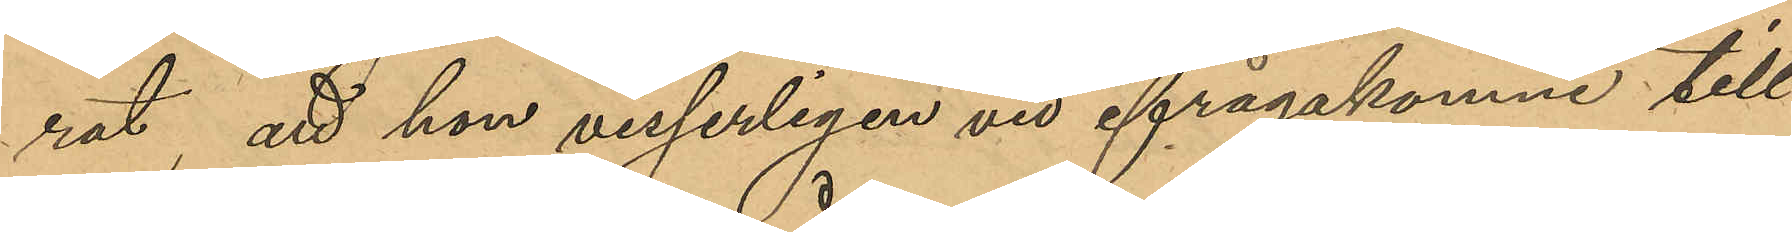rat, att hon visserligen vid ifrågakomne till¬
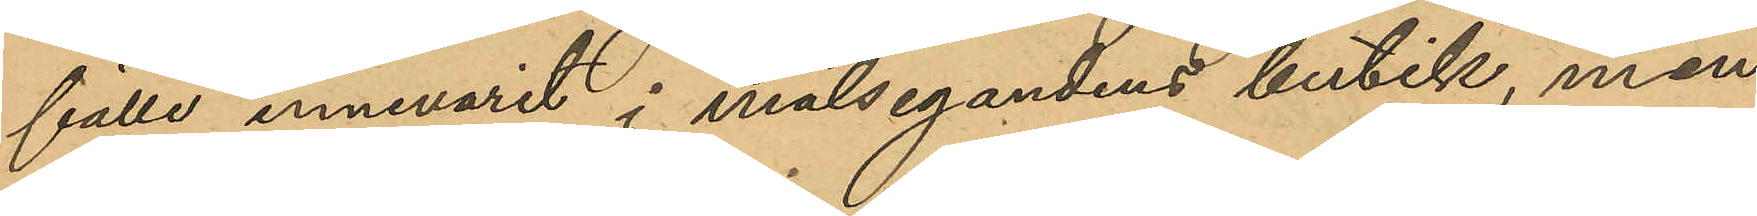fälle innevarit i målsegandens butik, men
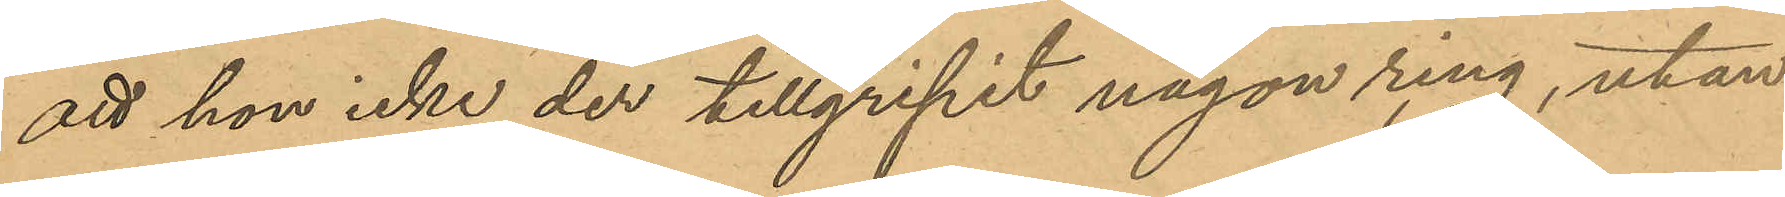att hon icke der tillgripit någon ring, utan
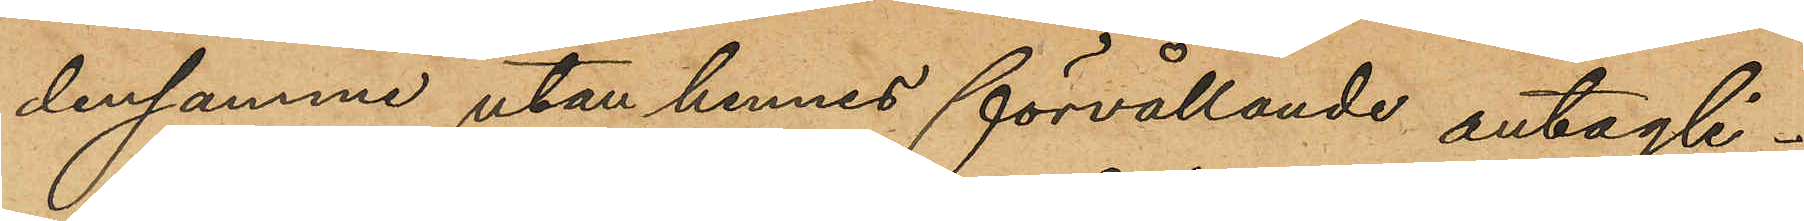densamme utan hennes förvållande antagli¬
